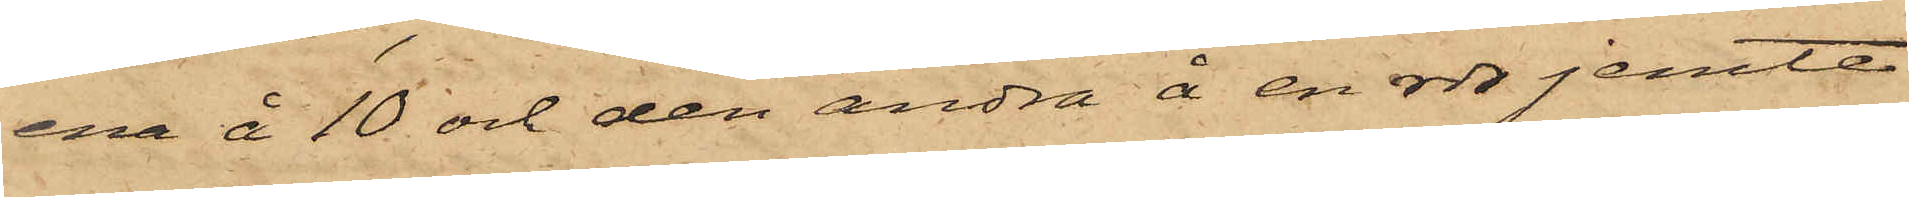ena å 10 och den andra å en rdr jemte
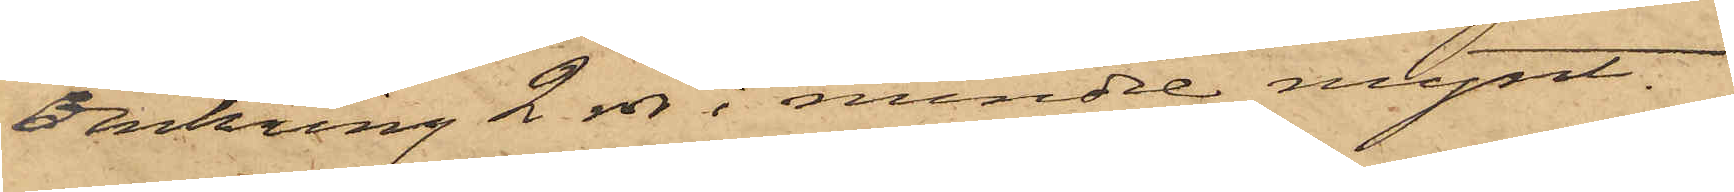omkring 2 rdr i mindre mynt.
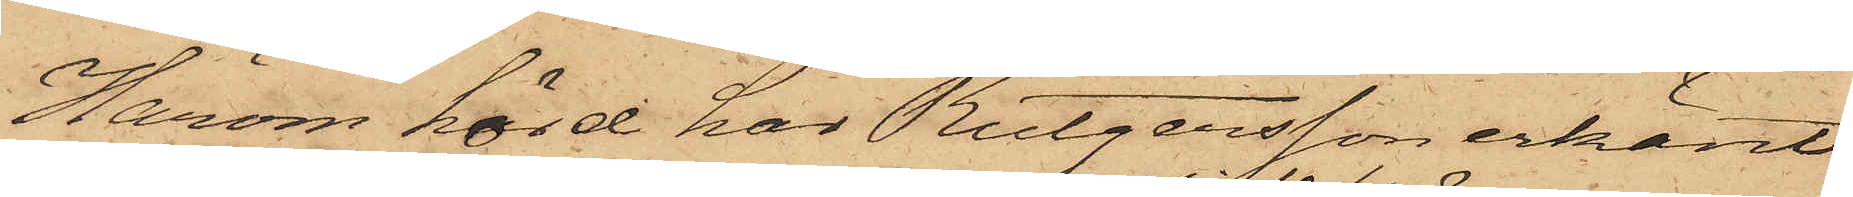Härom hörd har Rutgersson erkänt:
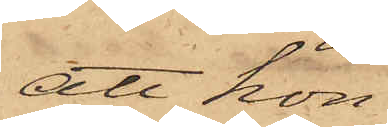att hon
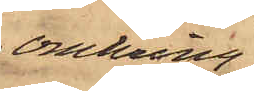omkring
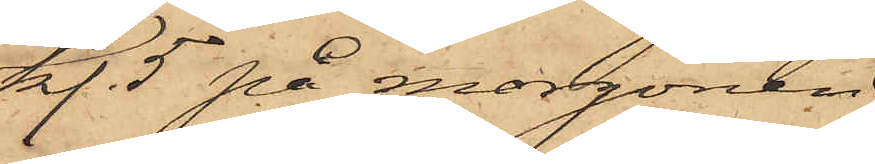kl. 5 på morgonen
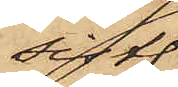sistl.
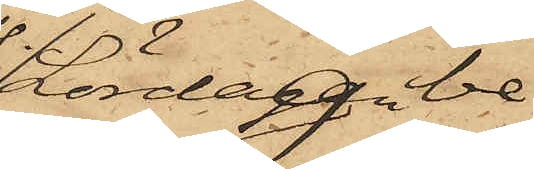Lördag be¬
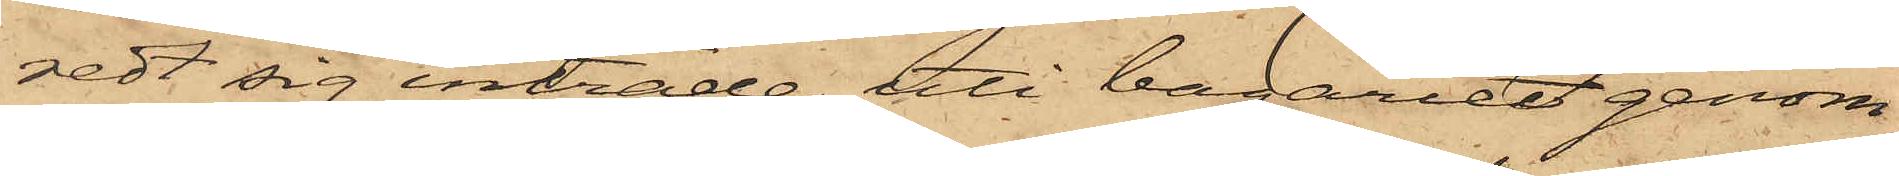redt sig inträde uti bageriet genom
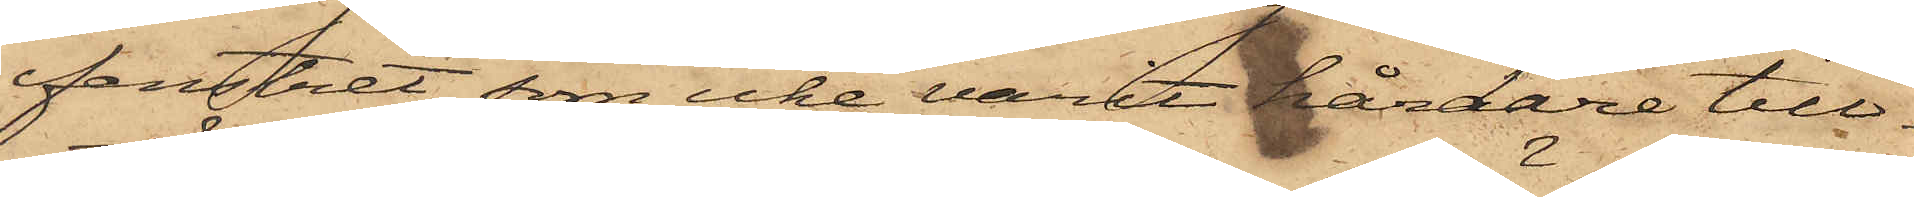fenstret, som icke varit hårdare till¬
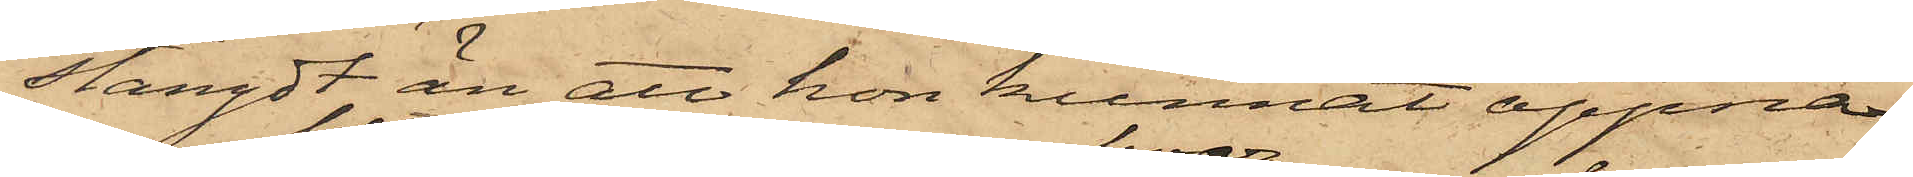stängdt än att hon kunnat öppnat
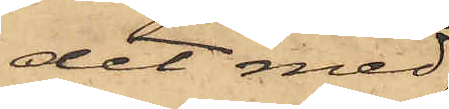det med
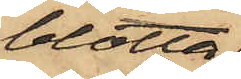blotta
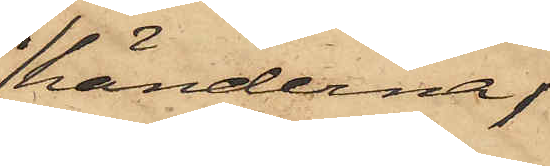händerna;
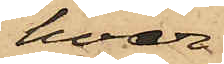hvar¬
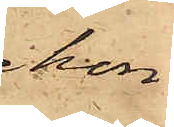hon
